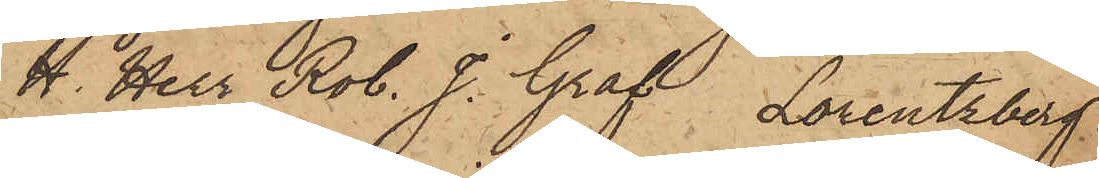H. Herr Rob. J. Graf, Lorentzberg
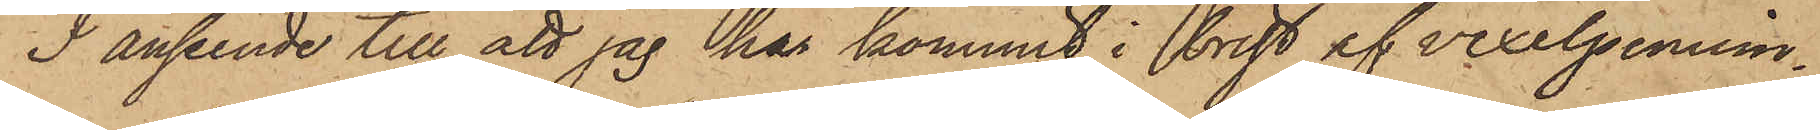I anseende till att jag har kommit i brist af vexelpennin¬
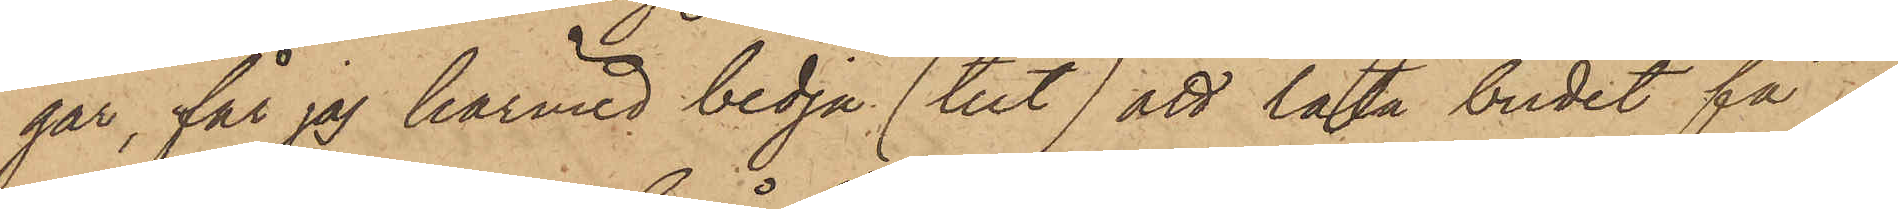gar, får jag härmed bedja (tut) att låta budet få
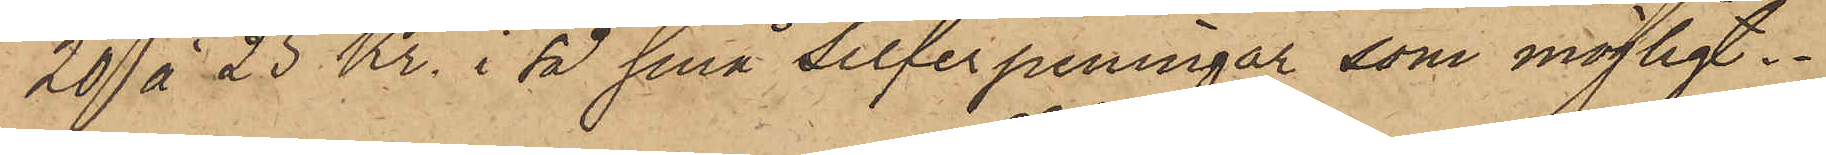20 à 25 Kr. i så små silferpeningar som möjligt
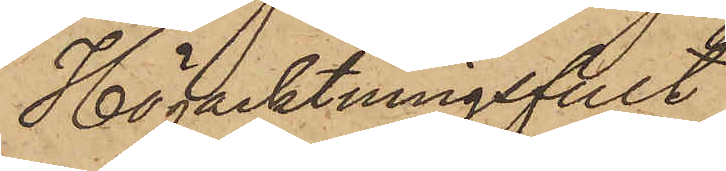Högacktningsfullt
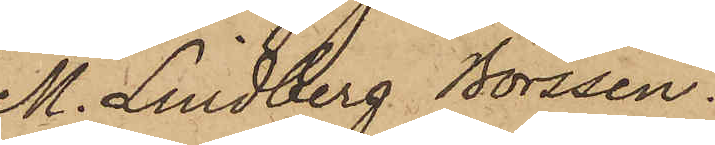M. Lindberg Börssen.
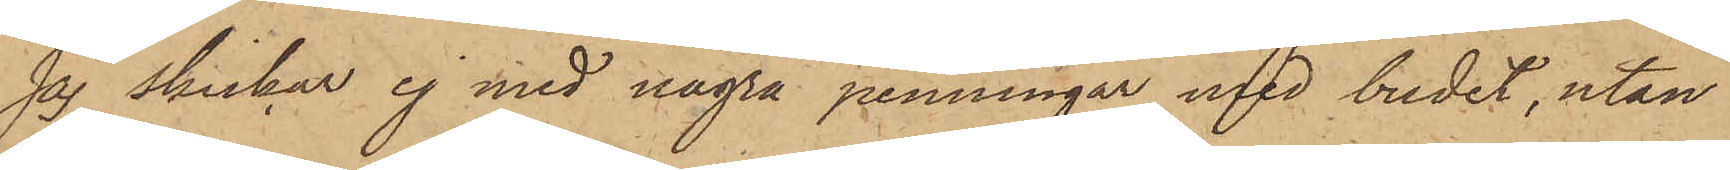Jag skickar ej med några penningar med budet, utan
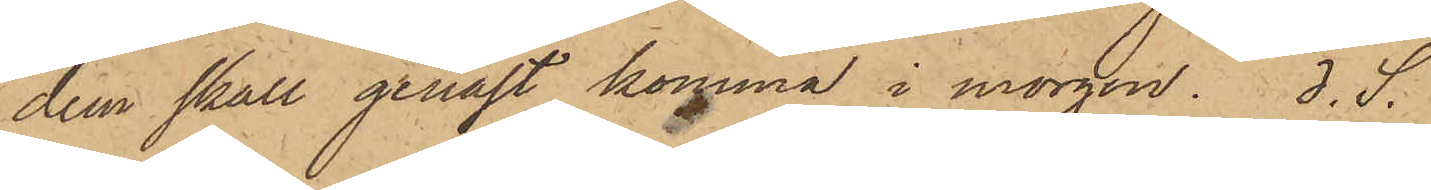dem skall genast komma i morgon. d.S.
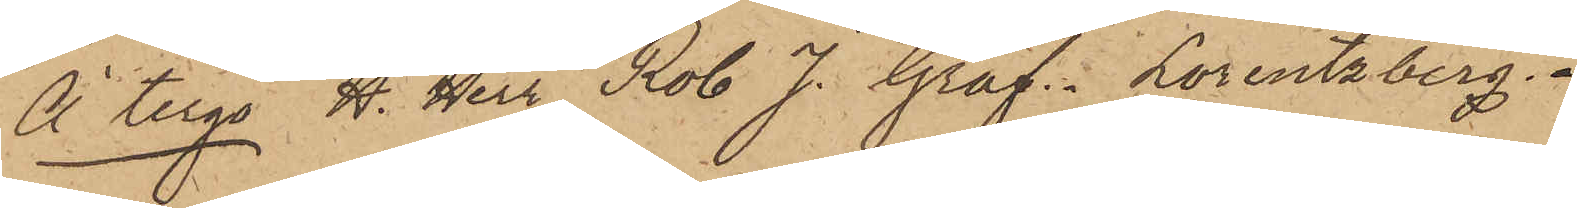À tergo H. Herr Rob J. Graf. Lorentzberg" 
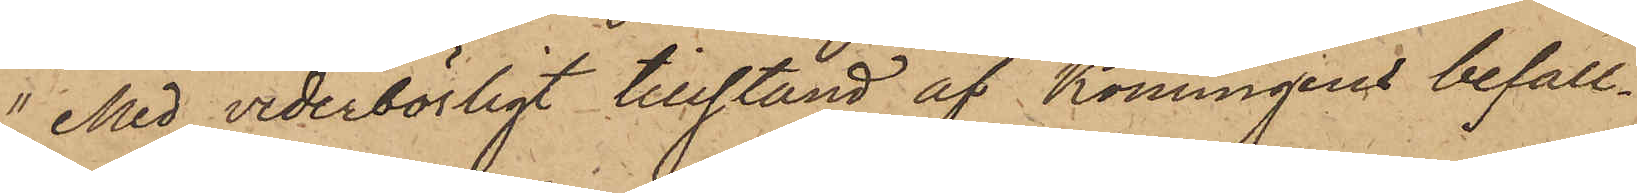 "Med vederbörligt tillstånd af Konungens befall¬
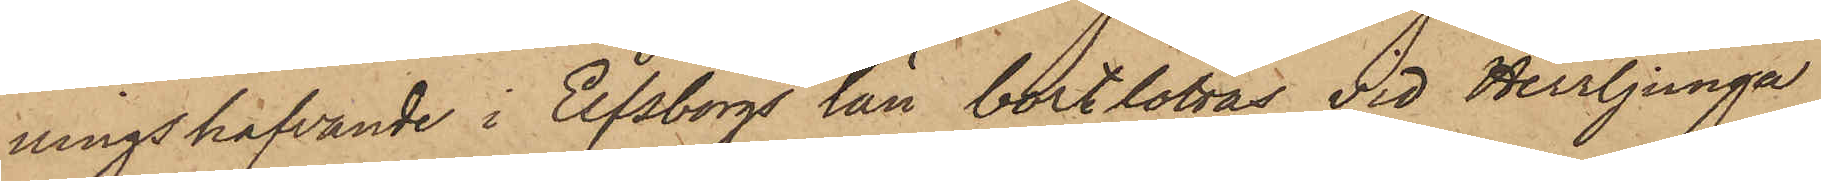ningshafvande i Elfsborgs län bortlottas vid Herrljunga
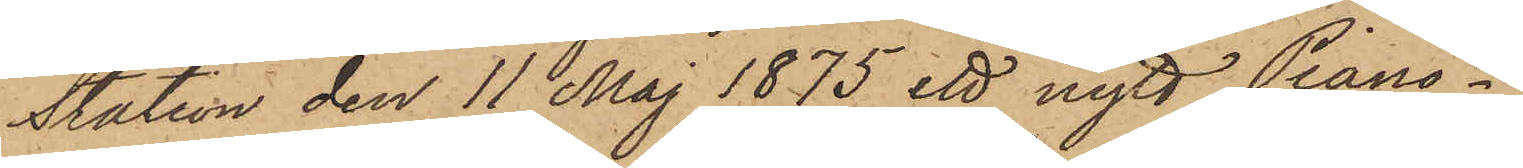Station den 11 Maj 1875 ett nytt Piano.
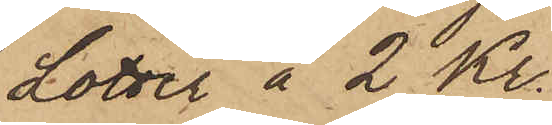Lotter à 2 Kr.
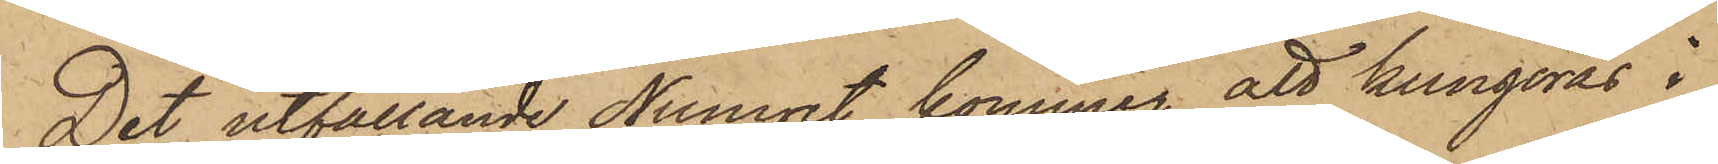Det utfallande Numret kommer att kungöras i
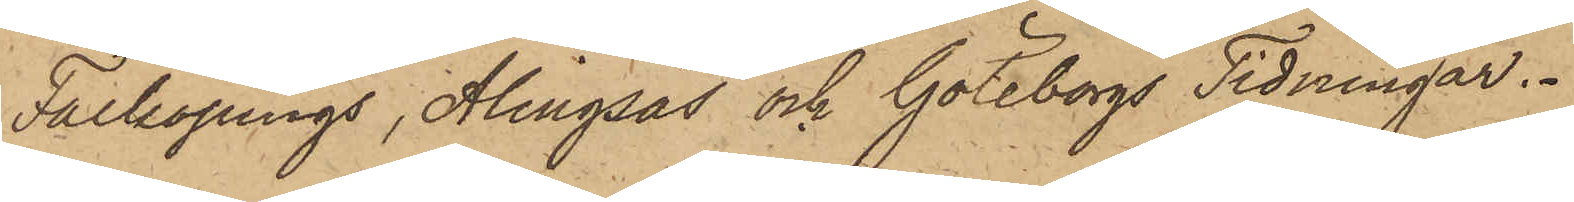Falköpings, Alingsås och Göteborgs Tidningar.
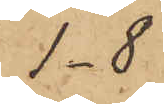1-8
